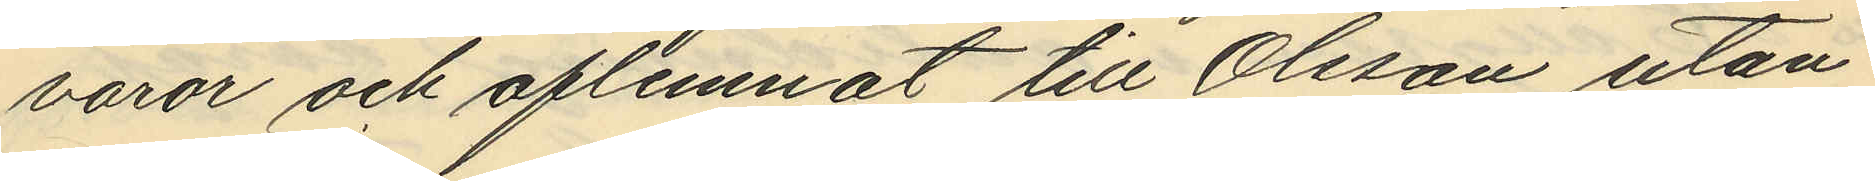varor och aflemnat till Olsson utan
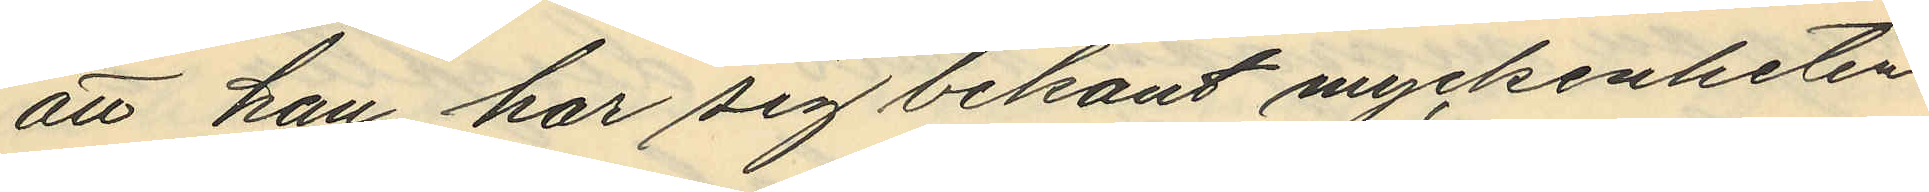att han har sig bekant myckenheten
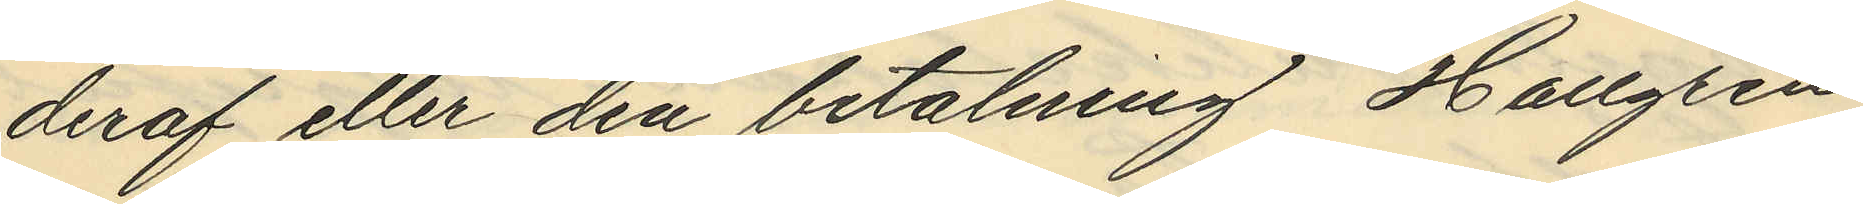deraf eller den betalning, Hallgren
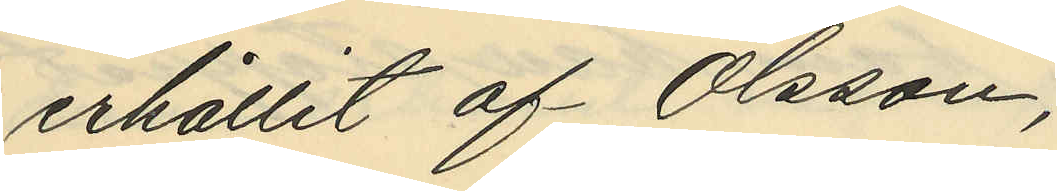erhållit af Olsson,
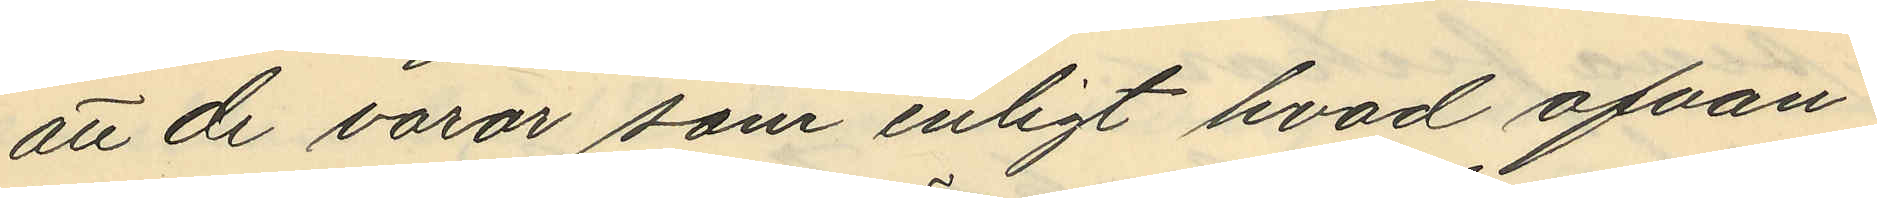att de varor som enligt hvad ofvan¬
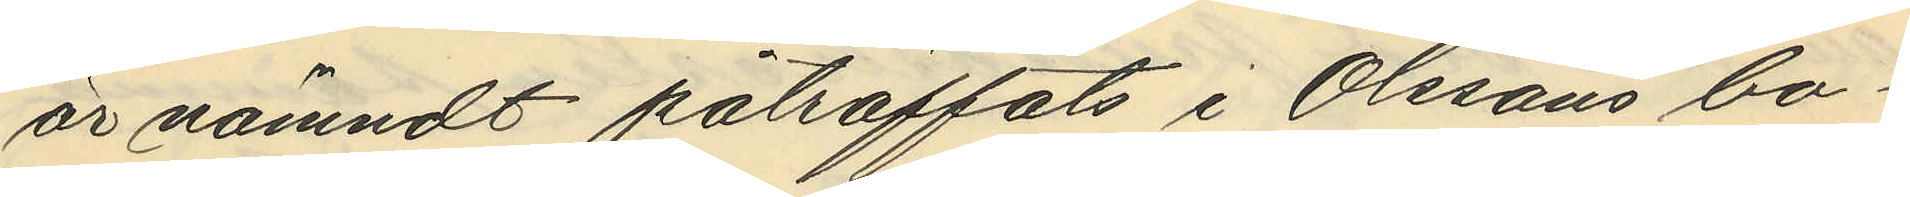är nämndt påträffats i Olssons bo¬
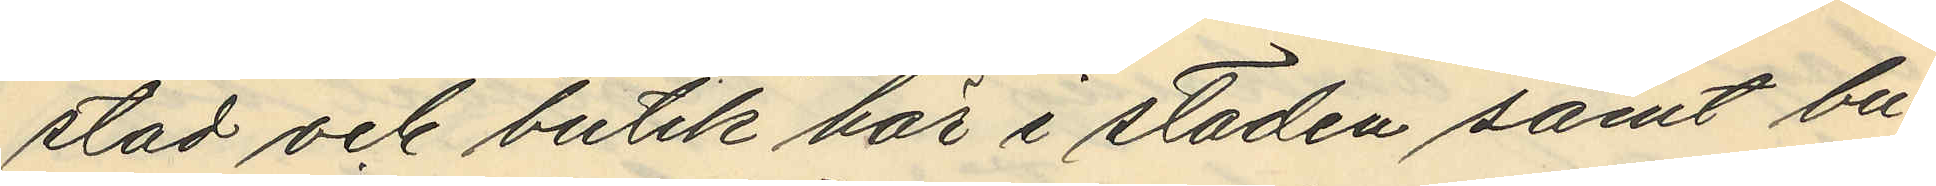stad och butik här i staden samt bu¬
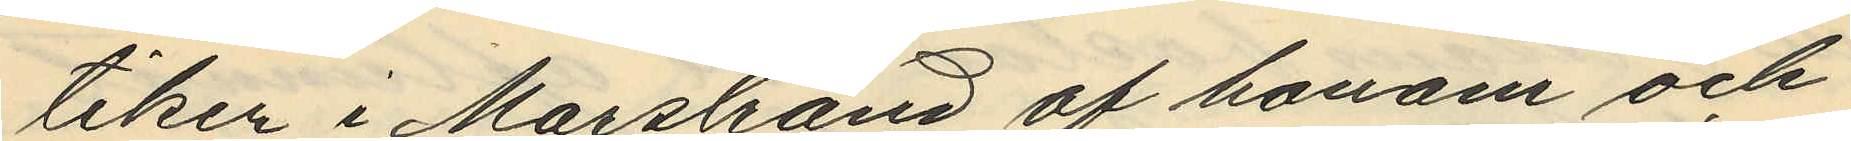tiken i Marstrand af honom och
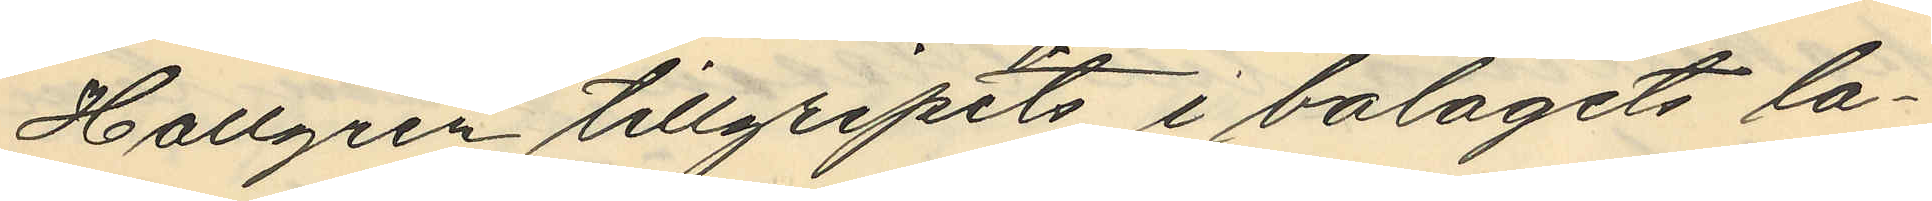Hallgren tillgripits i bolagets lä¬
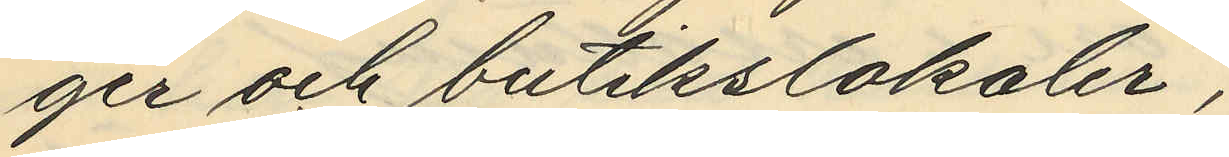ger och butikslokaler,
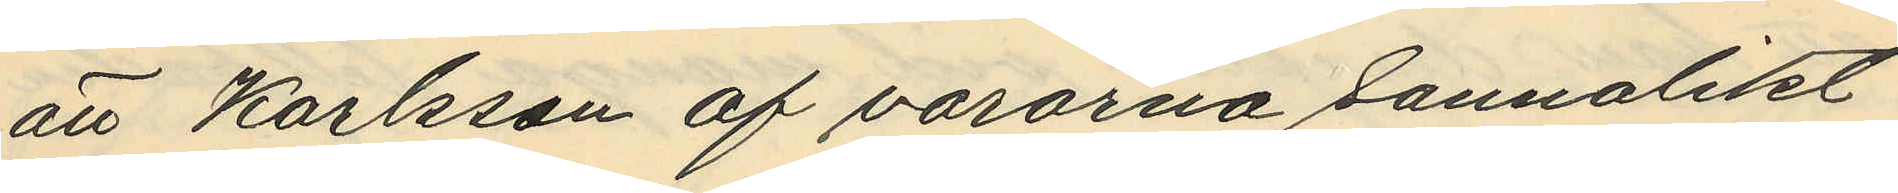att Karlsson af varorna sannolikt
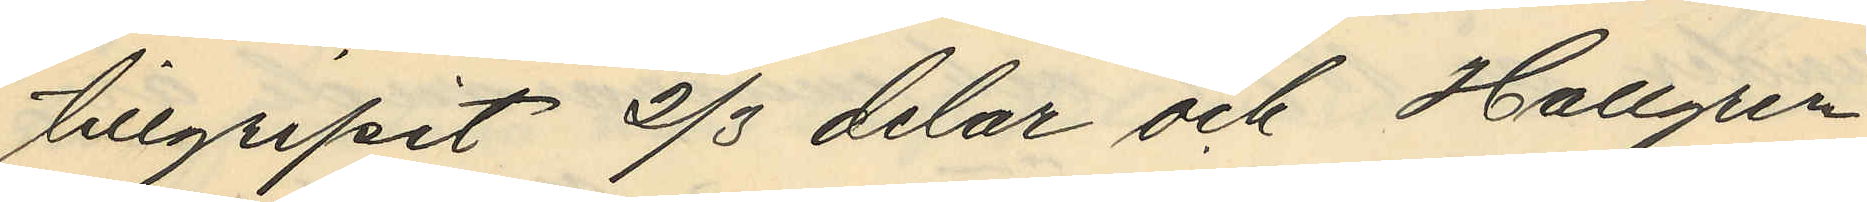tillgripit 2/3 delar och Hallgren
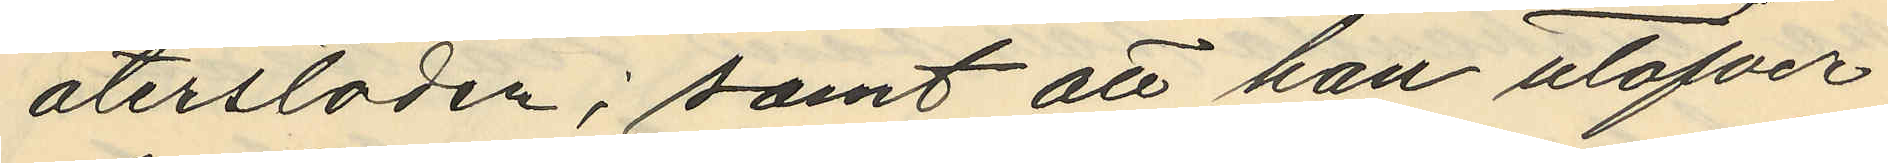återstoden; samt att han utöfver
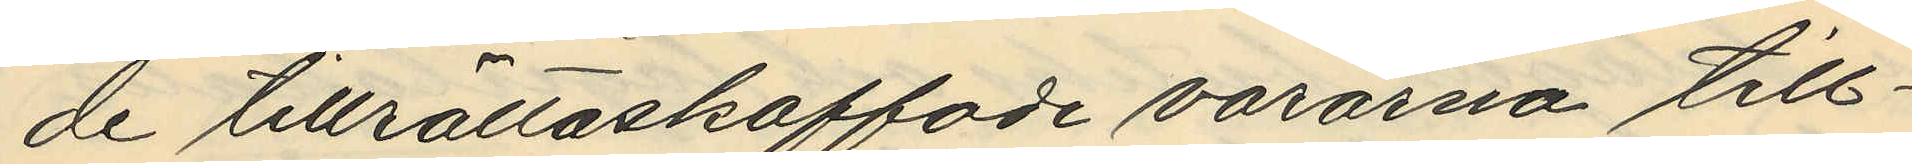de tillrättaskaffade varorna till¬
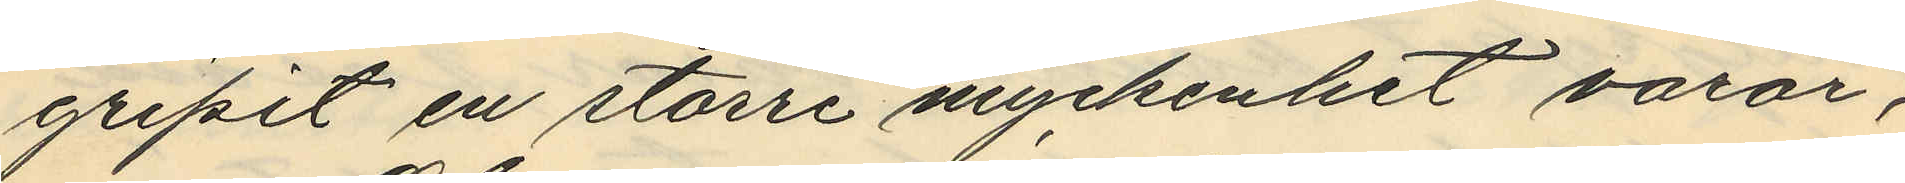gripit en större myckenhet varor,
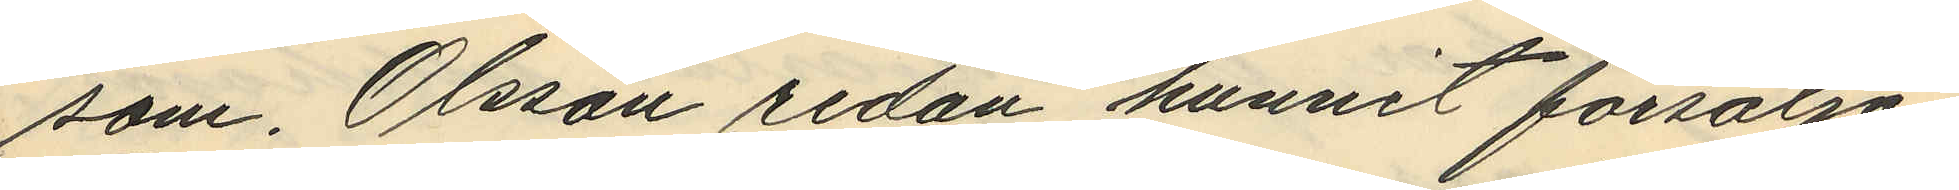som, Olsson sedan hunnit försälja
